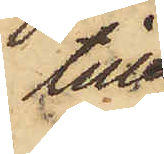till¬
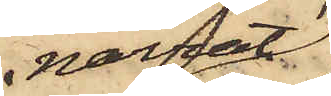narrat
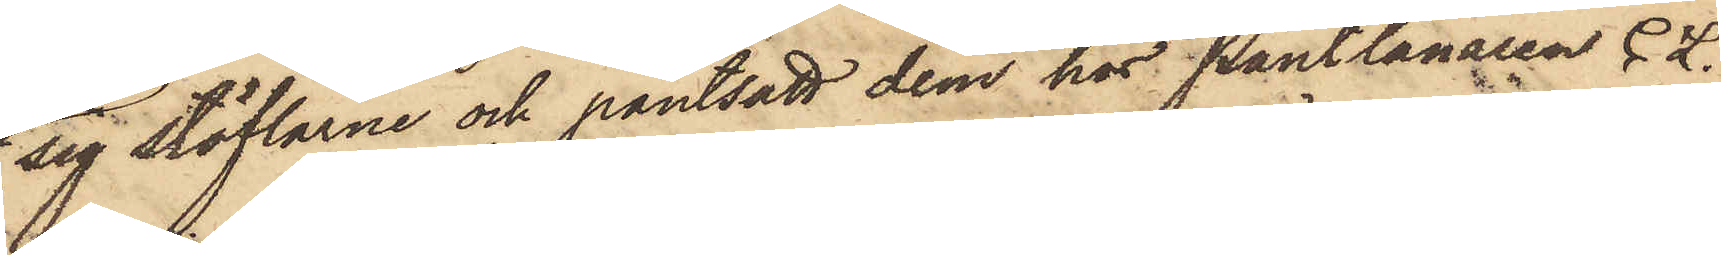sig stöflarne och pantsatt dem hos Pantlånaren C. L.
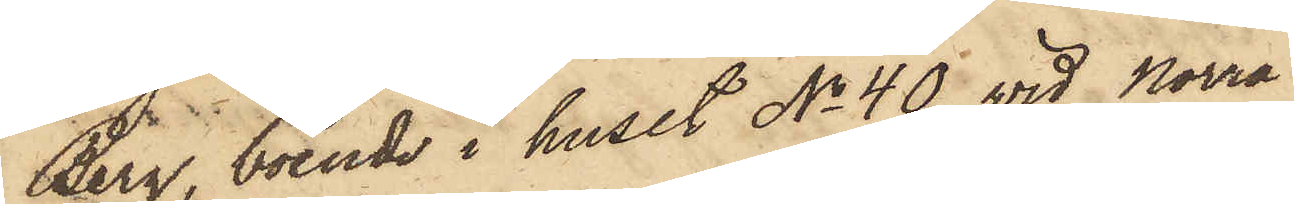Berg, boende i huset No 40 vid Norra
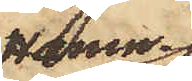Hamn¬
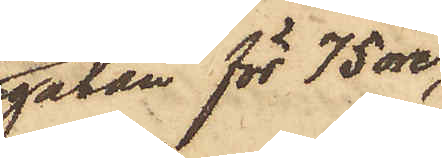gatan för 75 öre,
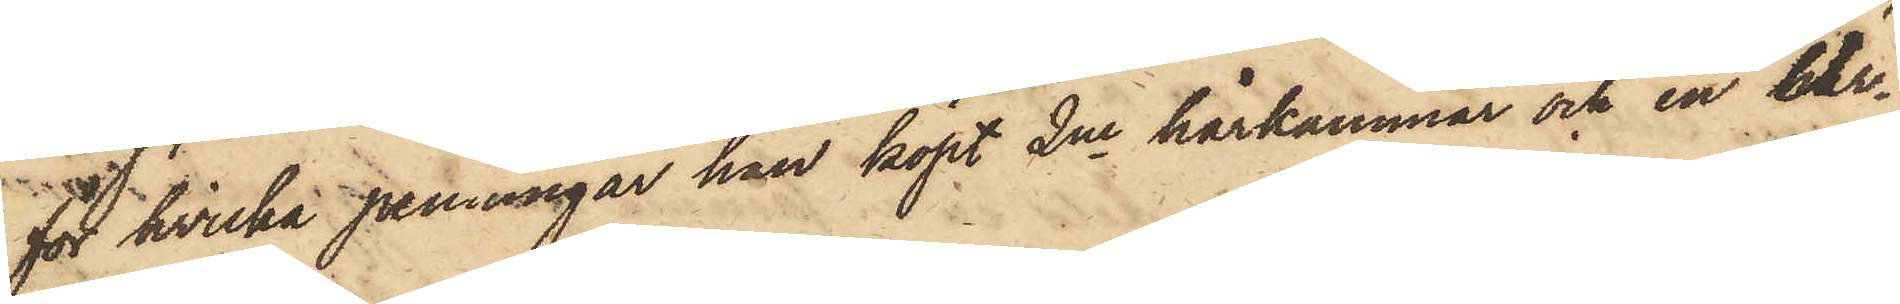för hvilka penningar han köpt 2ne hårkammar och en Ur¬
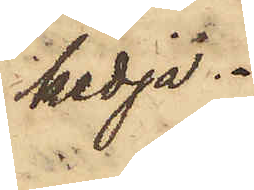kedja.
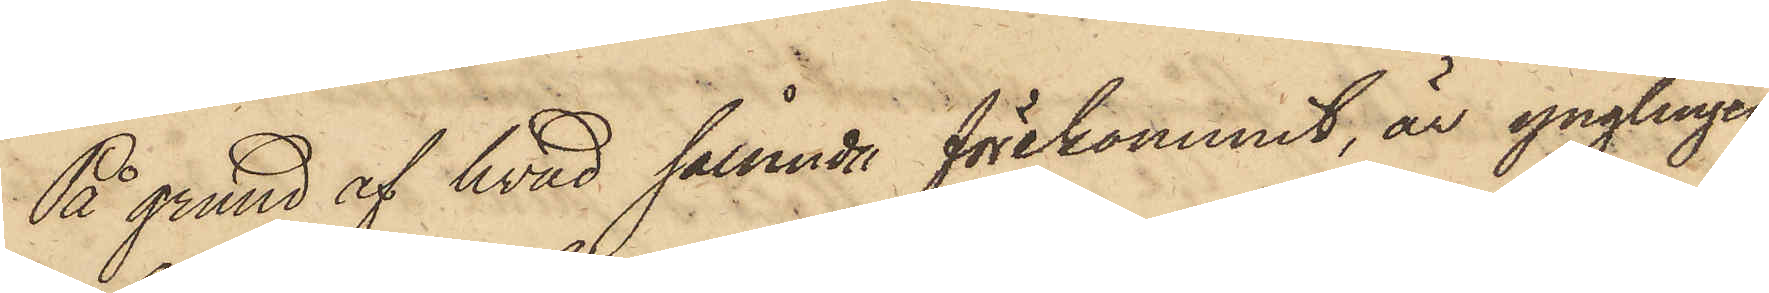På grund af hvad sålunda förekommit, är ynglingen
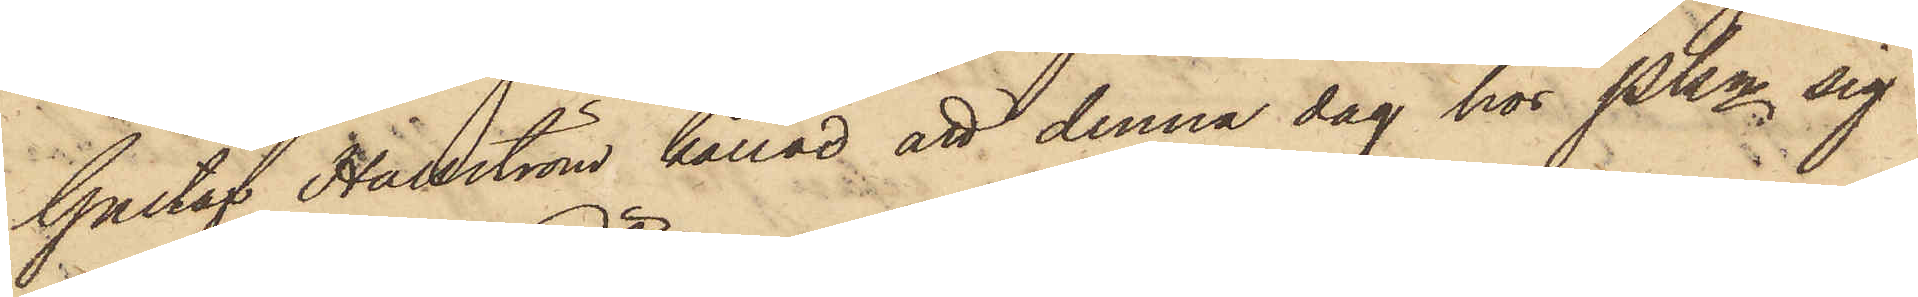Gustaf Hallström kallad att denna dag hos Pkn sig
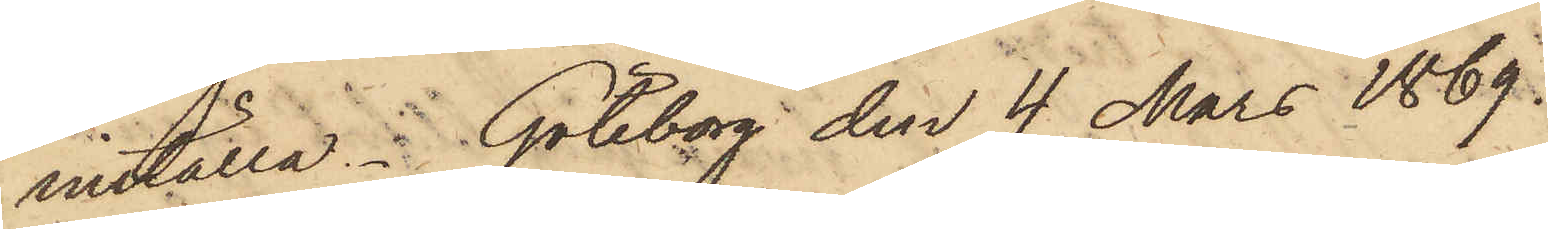inställa. Göteborg den 4 Mars 1869.
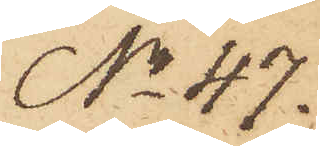No 47.
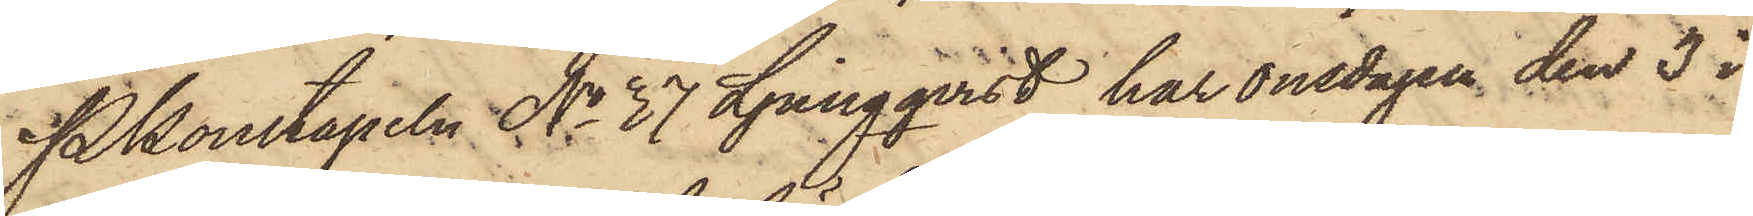Pkonstapeln No 37 Ljungqvist, har onsdagen den 3 i
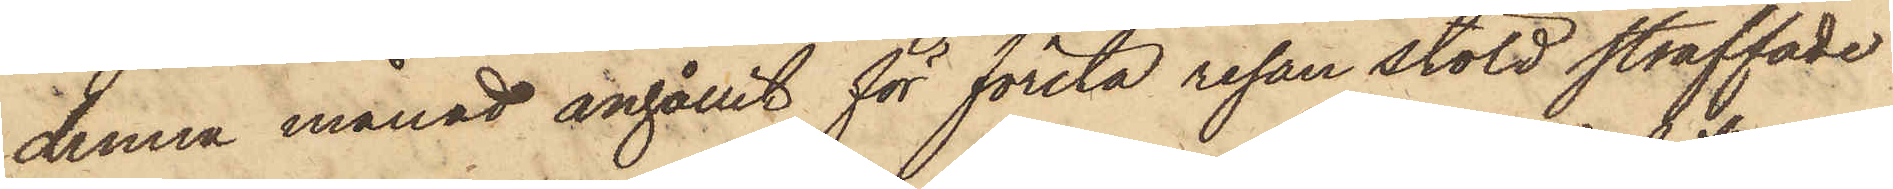denna månad anhållit för första resan stöld straffade
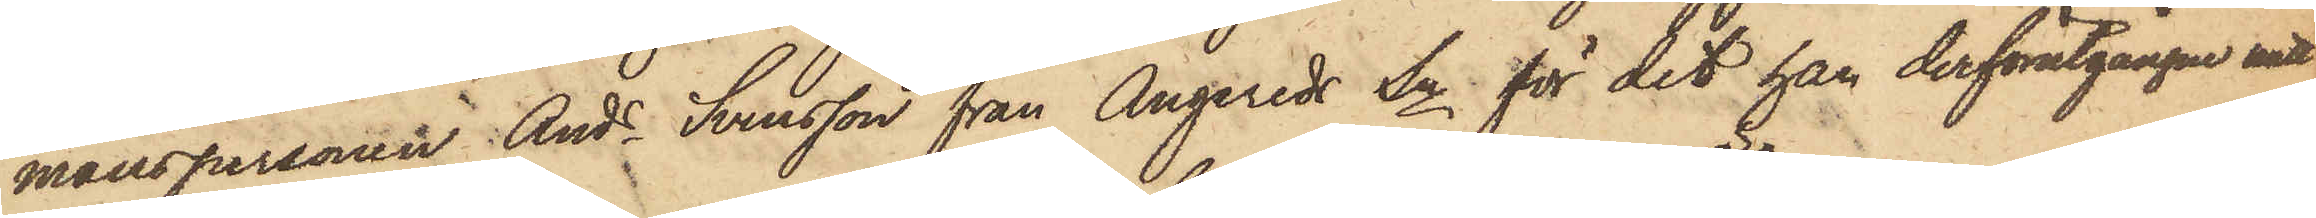manspersonen Ands Svensson från Angereds Sn för det han derförutgångne natt
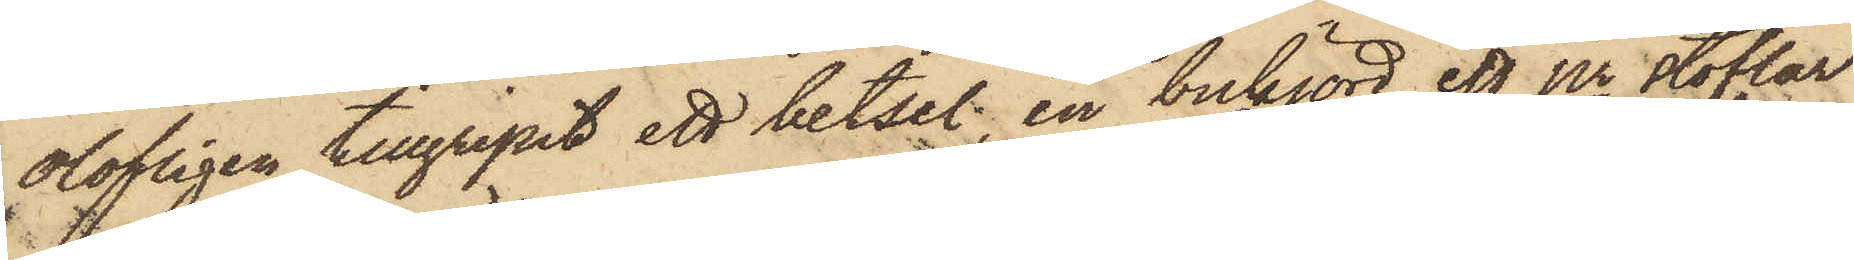olofligen tillgripit ett betsel; en bukjord, ett pr stöflar
